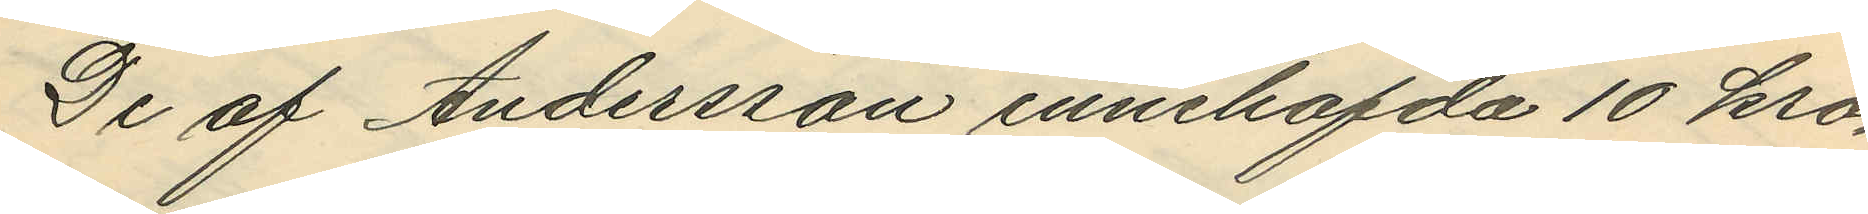De af Andersson innehafda 10 kro¬
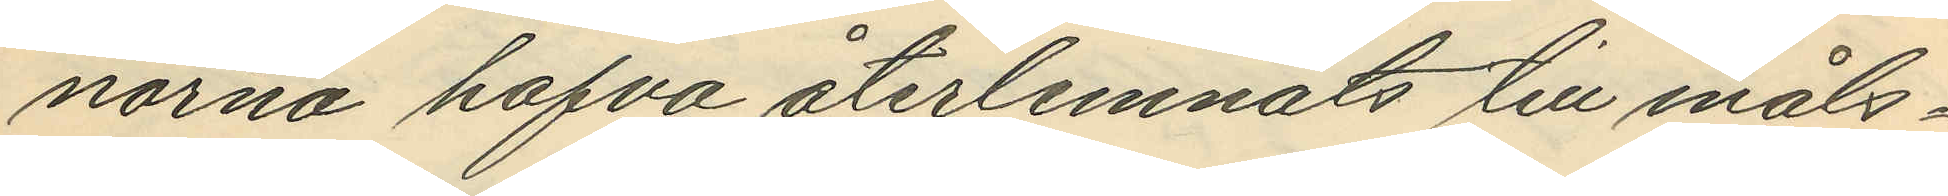norna hafva återlemnats till måls¬
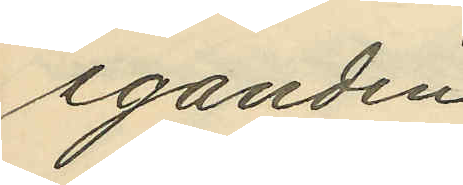eganden.
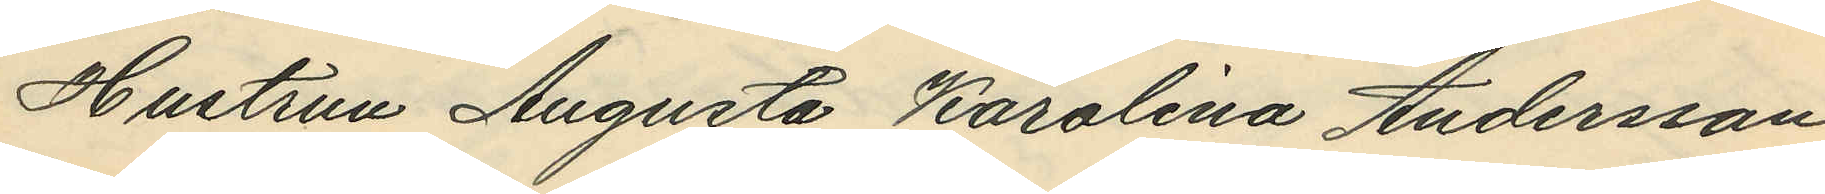Hustrun Augusta Karolina Andersson
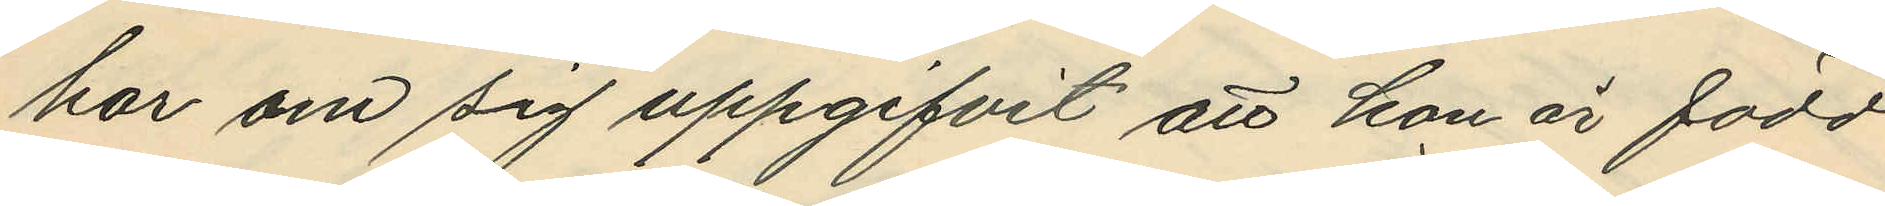har om sig uppgifvit att hon är född
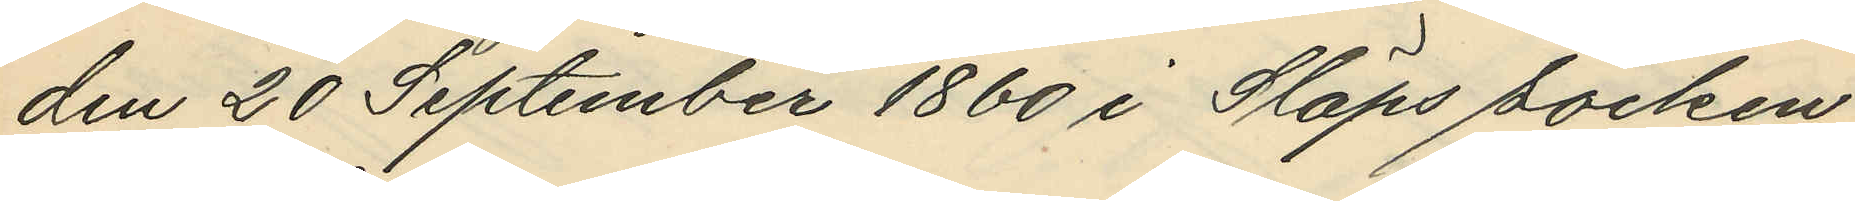den 20 September 1860 i Släps socken
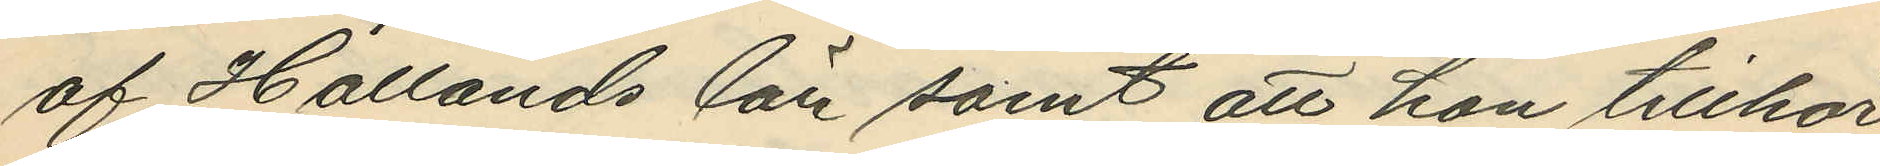af Hallands län samt att hon tillhör
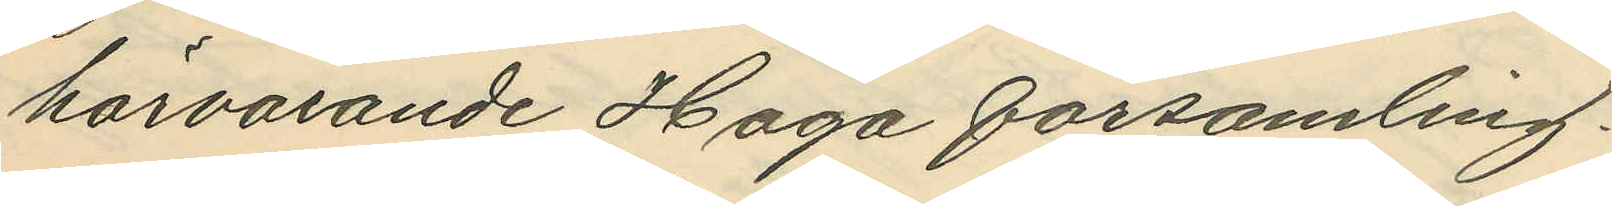härvarande Haga församling.
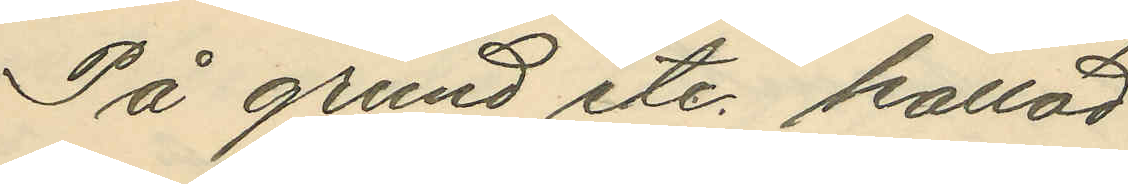På grund etc. kallad.
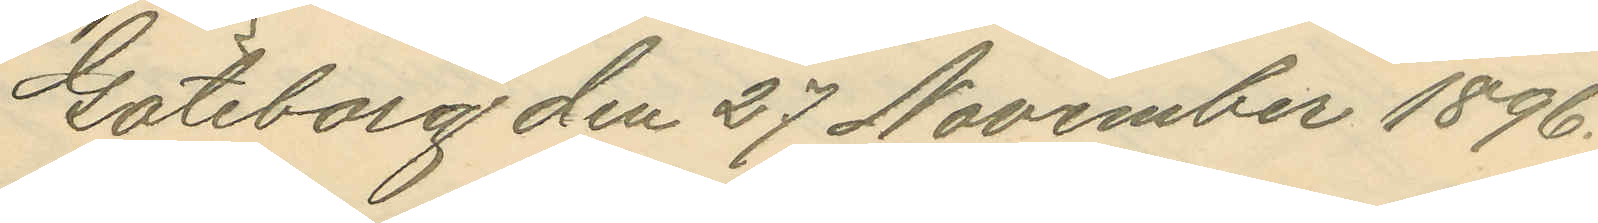Göteborg den 27 November 1896.
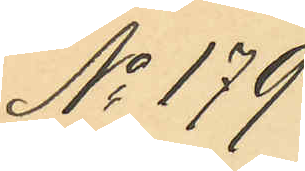No 179
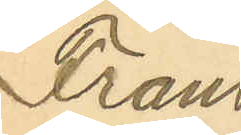Frans
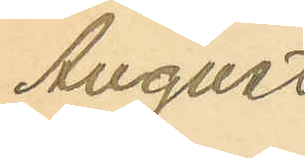August
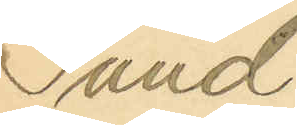Sund¬
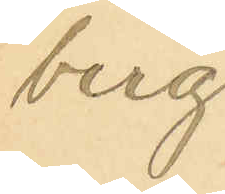berg
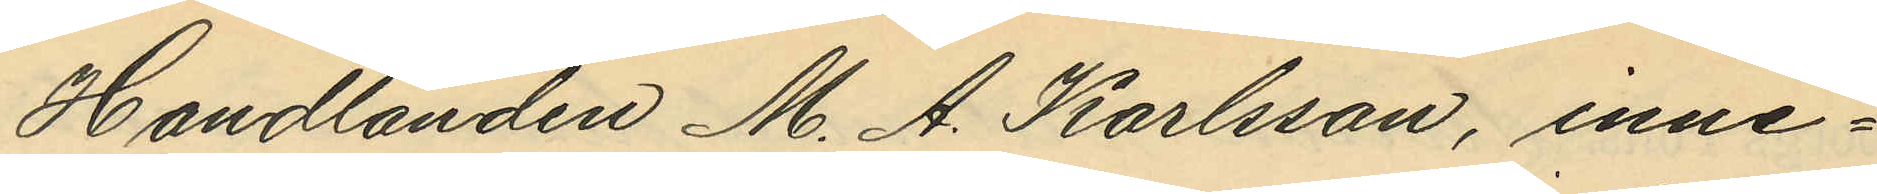Handlanden M. A. Karlsson, inne¬
